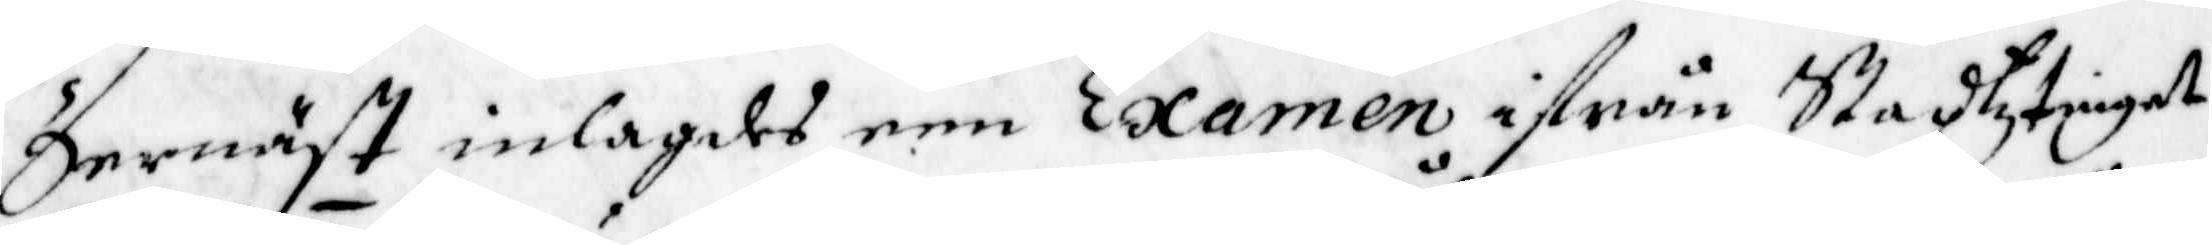Dernäst inlagdes een Examen ifrån Stadztinget
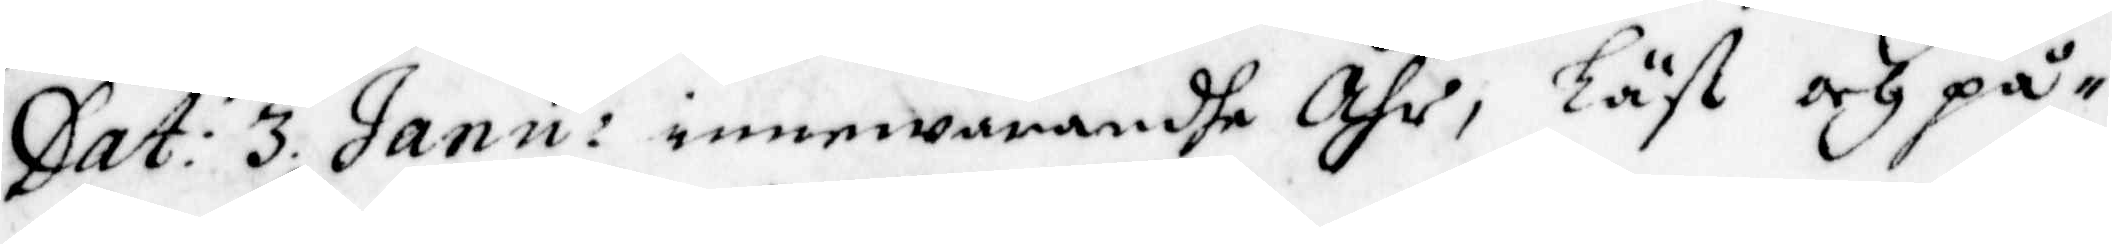Dat: 3 Janu: innewarandhe Åhr, Läst och på¬
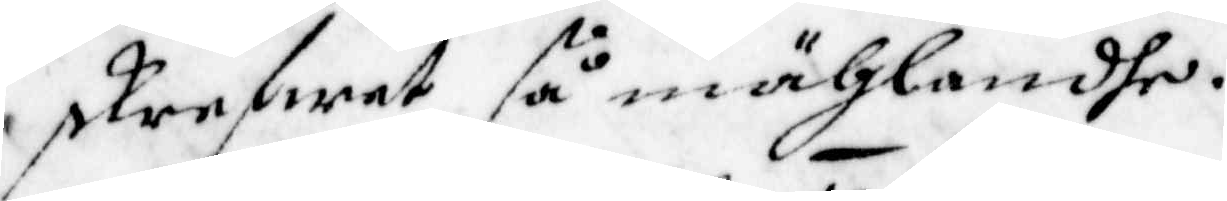skrefwet så mählandhe.
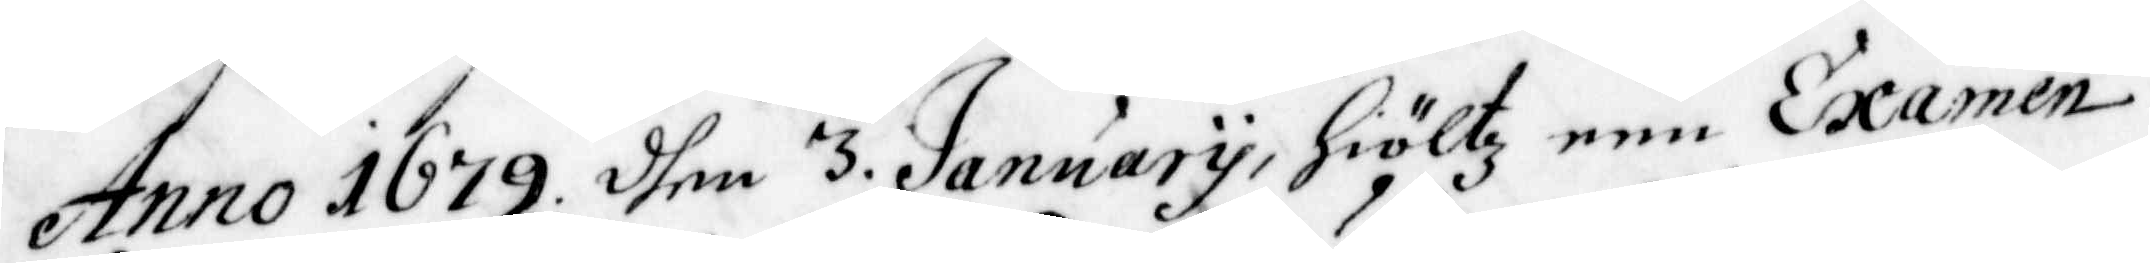Anno 1679 dhen 3 January, hiöltz een Examen
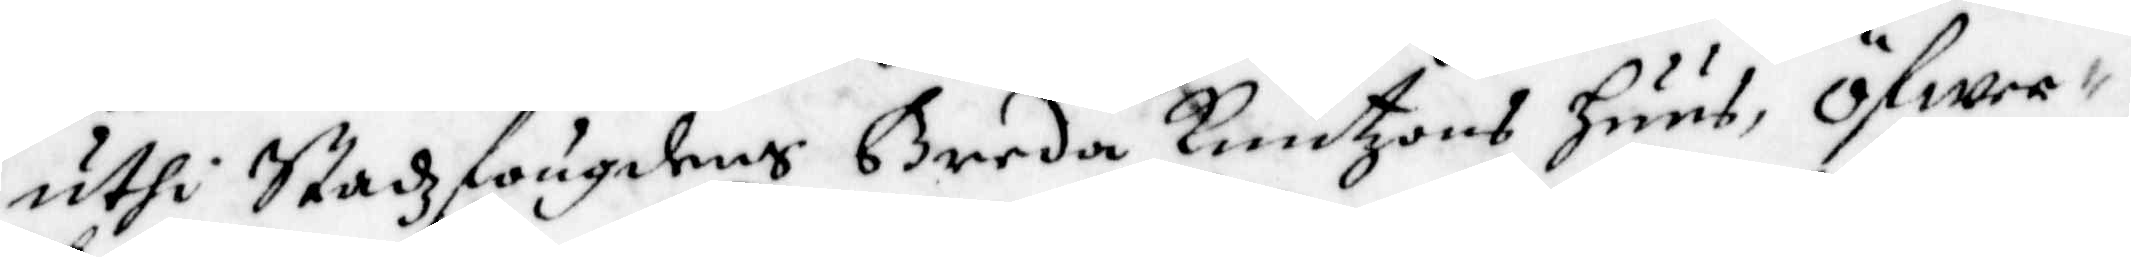uthi Stadzfougdens Breda Knuttzons huus, öfwer
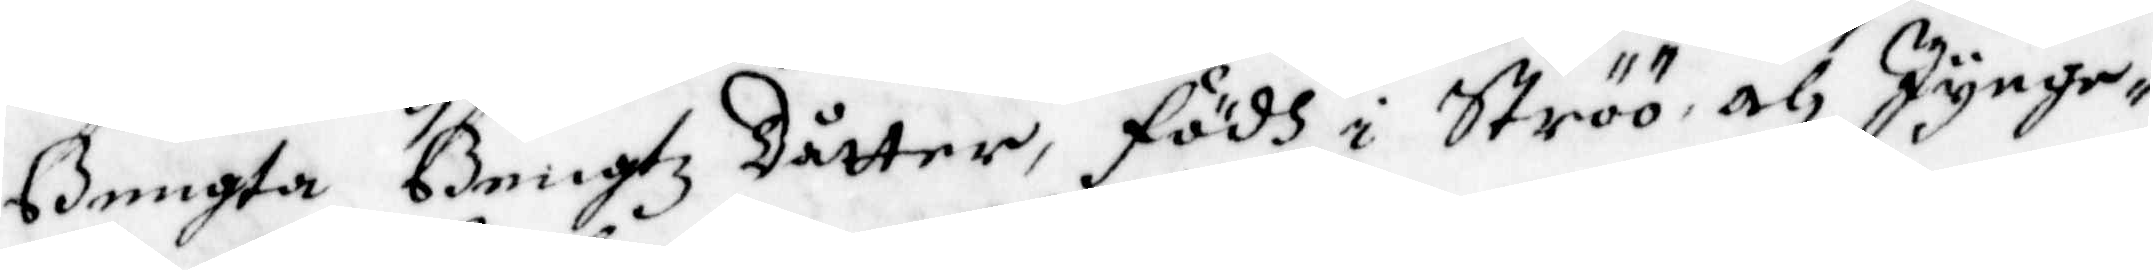Bengta Bengtz dåtter, födh i Ströö och Jynge
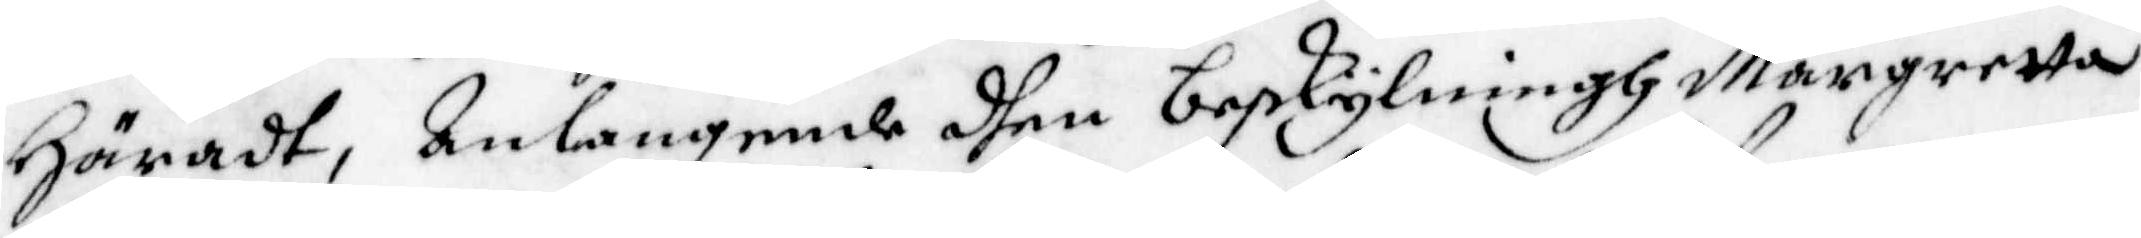Häradt, Anlangande dhen beskylningh Margretta
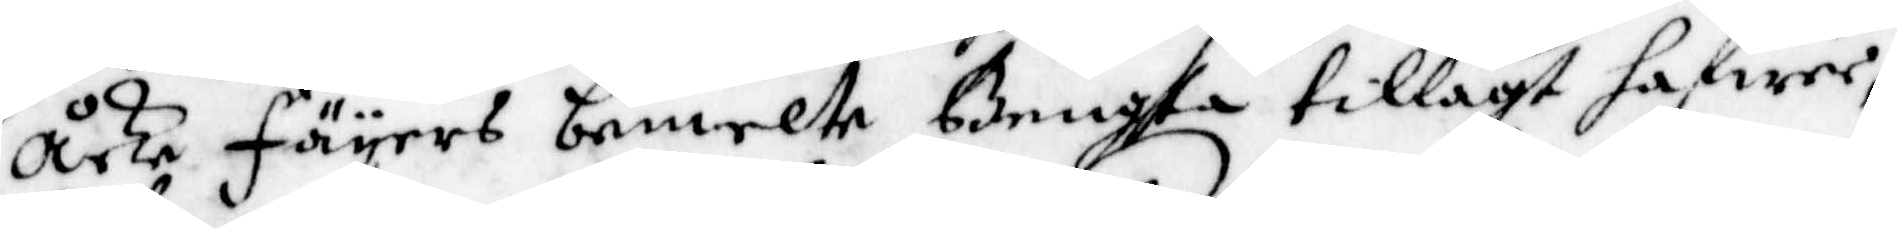Åcke fäyers bemelte Bengta tillagt hafwer;
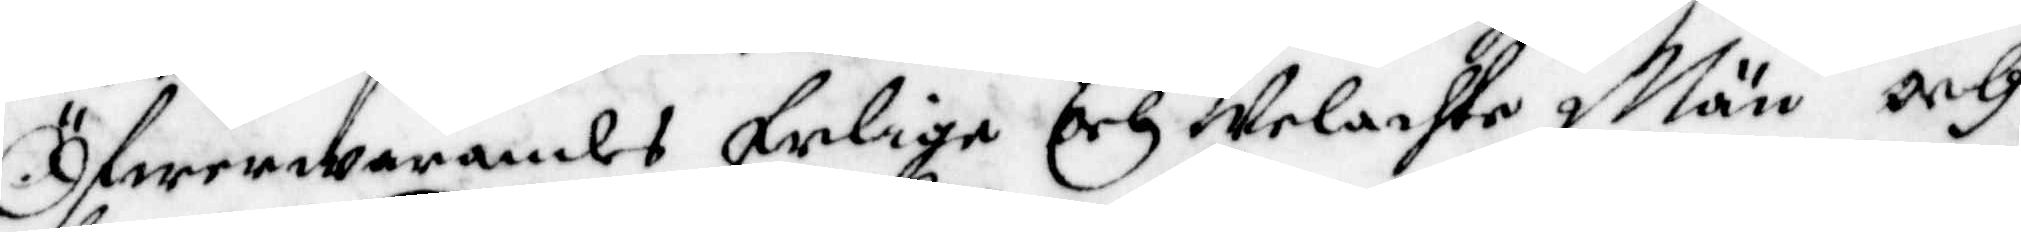Öfwerwarandes Erlige och Welachte Män, och
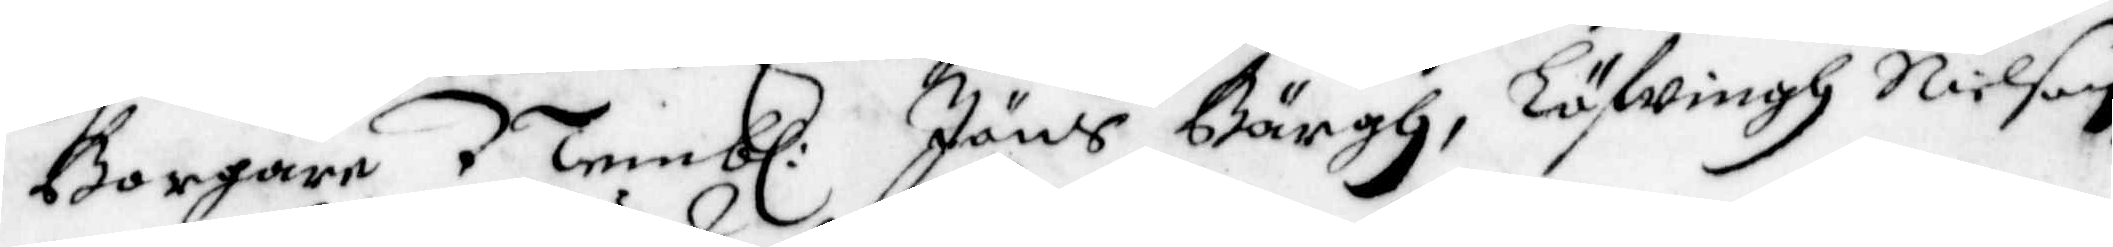Borgare Nembl: Jöns Bärgh, Löfwingh Nilson,
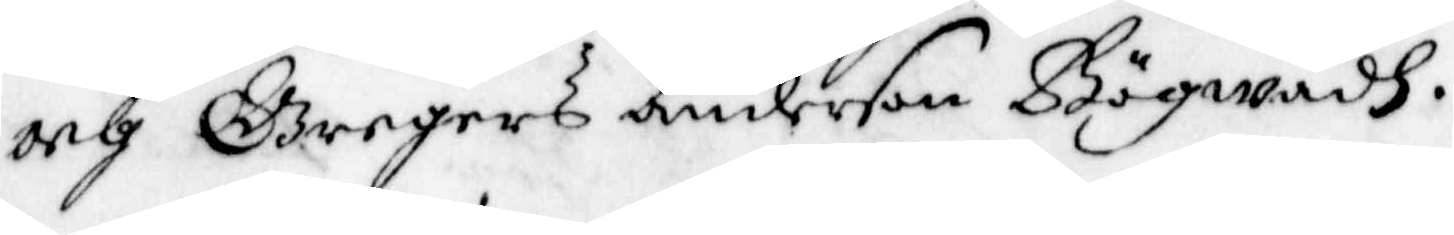och Gregers Anderson Bögwadh.
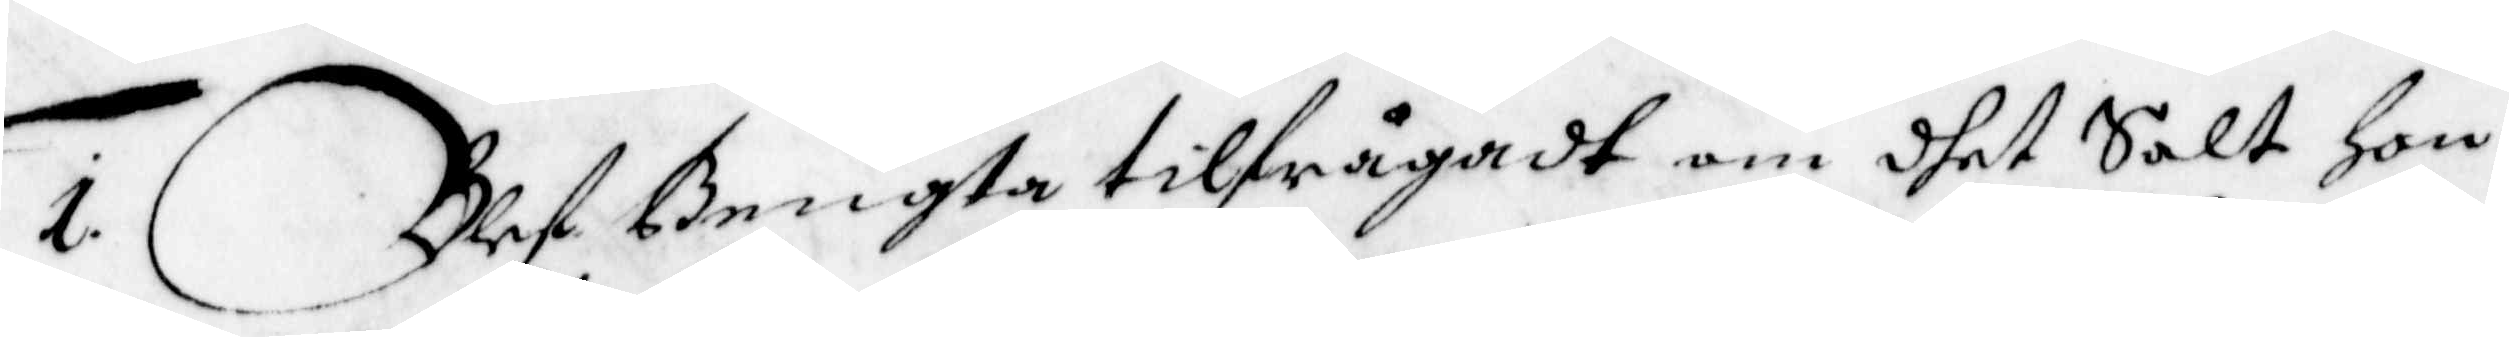1. Blef Bengta tilfrågadt om dhet Salt Hon
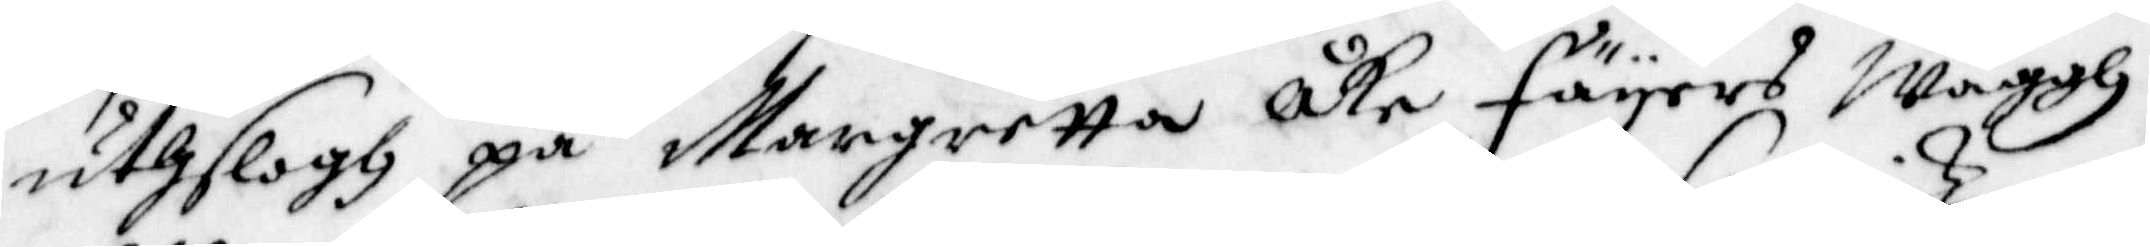uthslogh på Margretta åke fäyers Wäggh
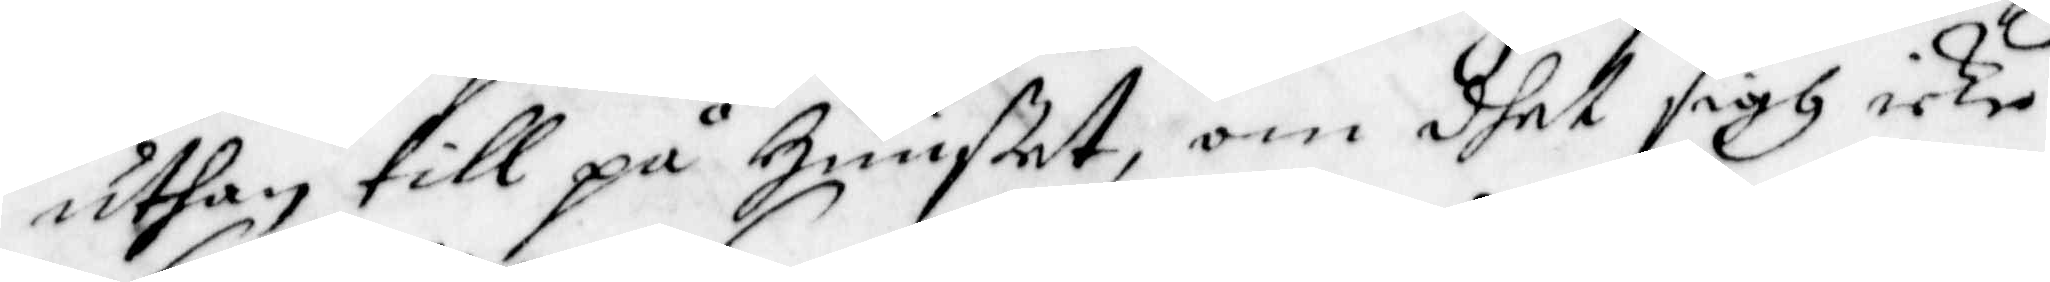uthan till på Huuset, om dhet sigh icke
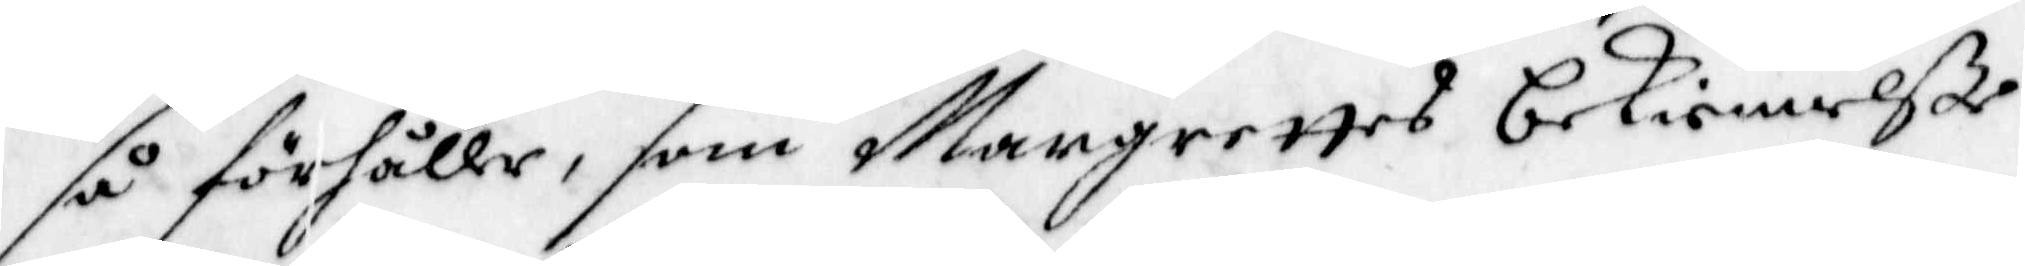så förhåller, som Margrettes bekiennelße
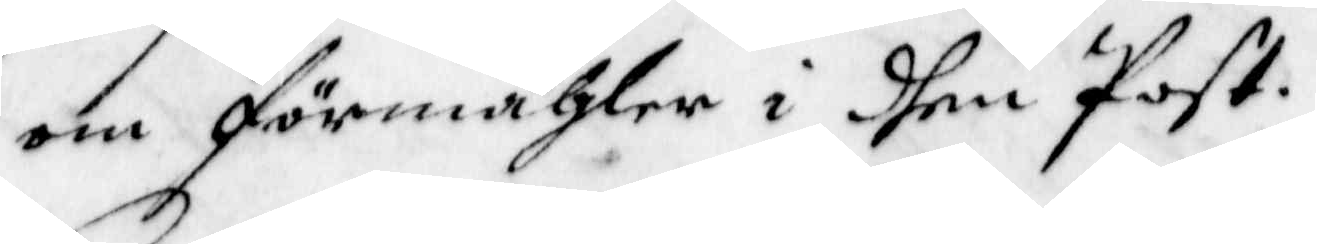om förmähler i dhen Post.
